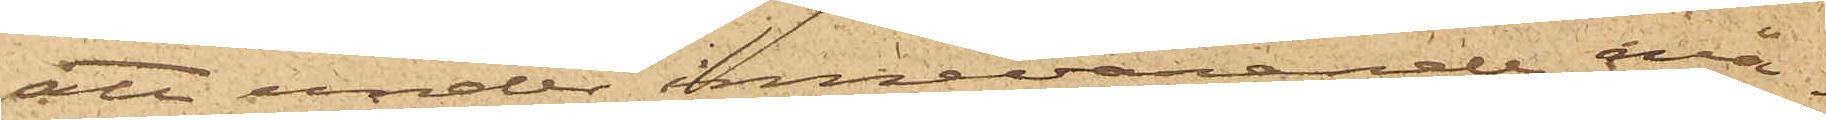att under innevarande må¬
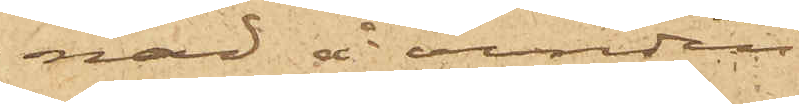nad å vinden
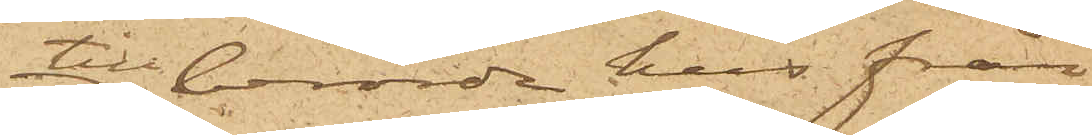till berörde hus från
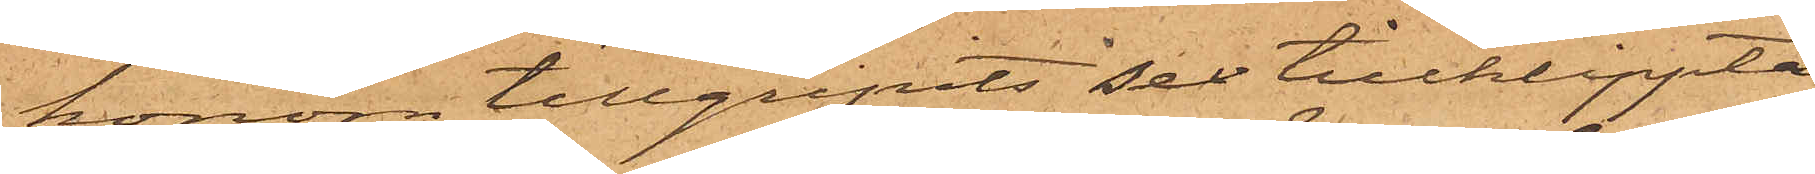honom tillgripits sex tillklippta
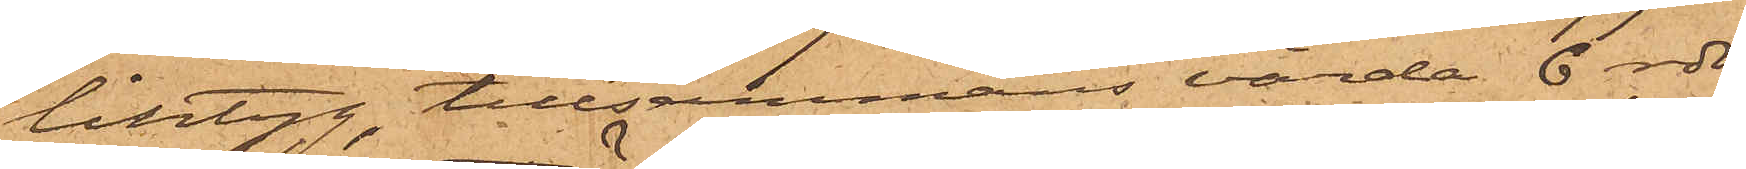lintyg, tillsammans värda 6 rdr,
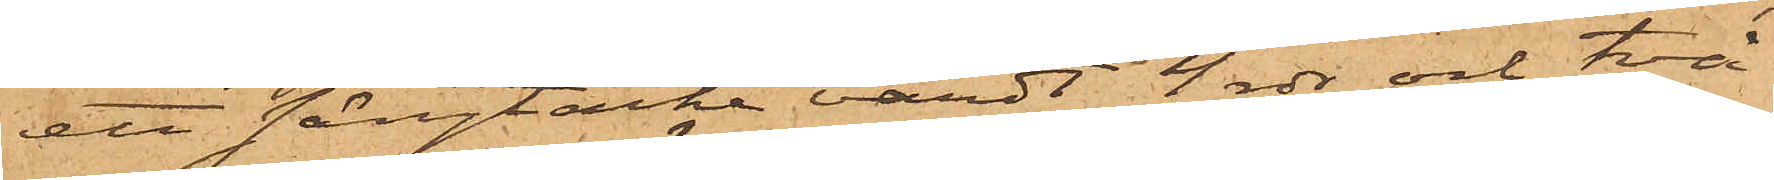ett sängtäcke värdt 4 rdr och två
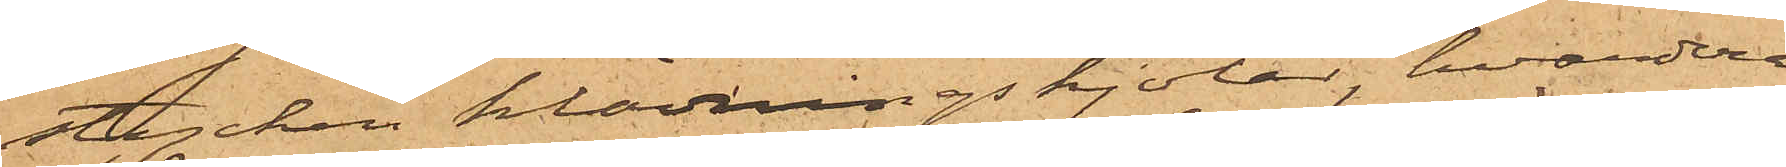stycken klädningskjolar, hvardera
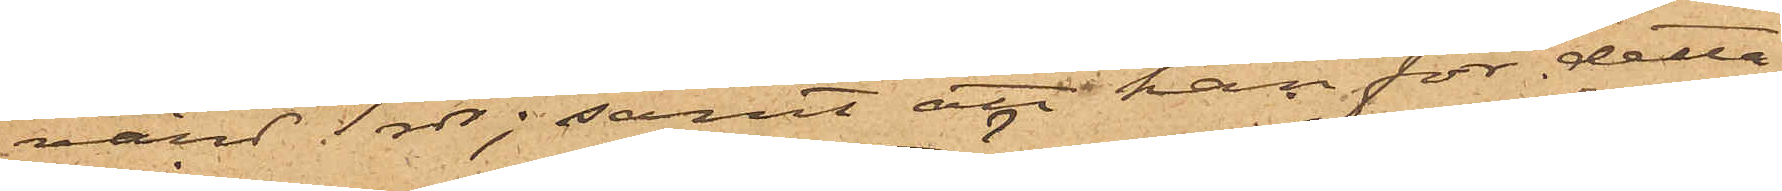värd 1 rdr; samt att han för detta
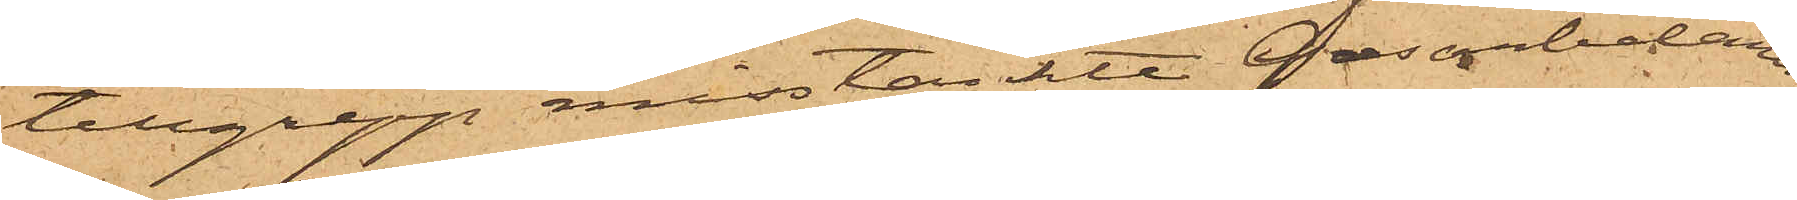tillgrepp misstänkte Gasarbetaren
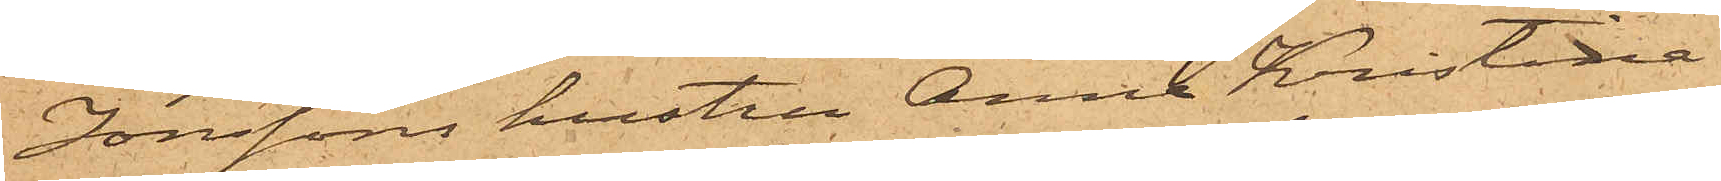Jonssons hustru Anna Kristina
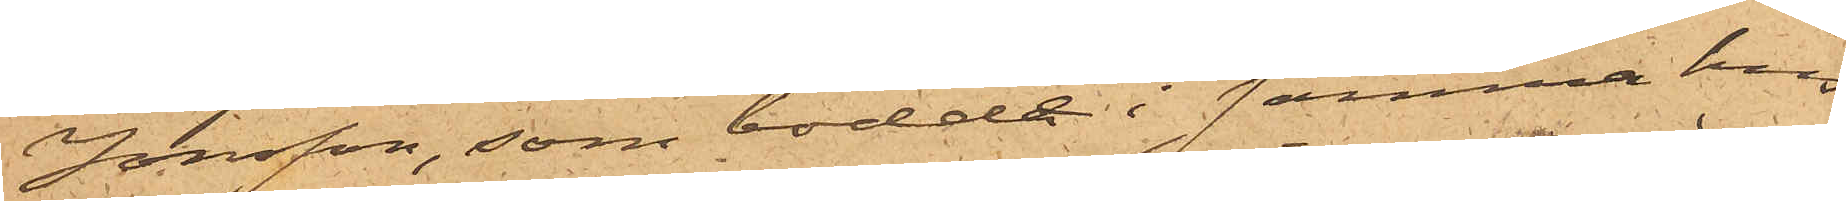Jonsson, som bodde i samma hus
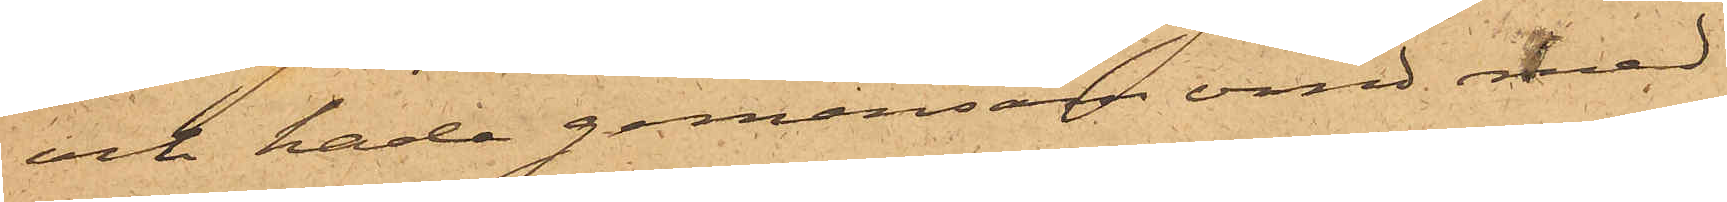och hade gemensam vind med
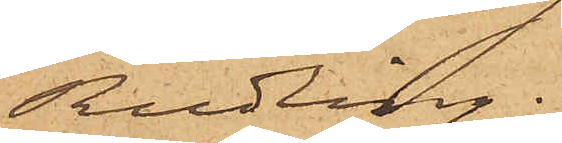Rudling.
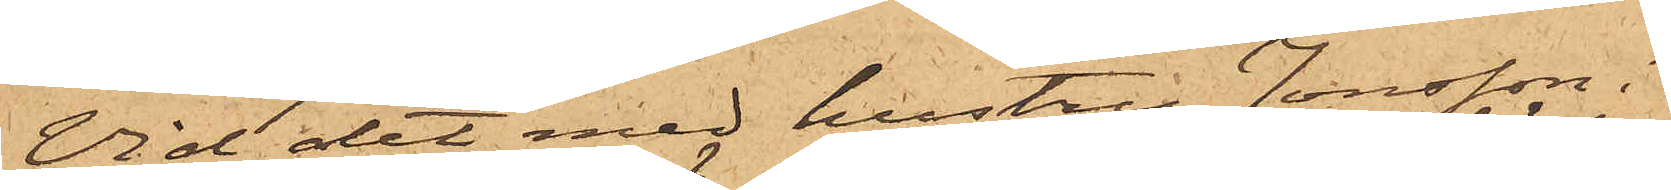Vid det med hustru Jonsson i
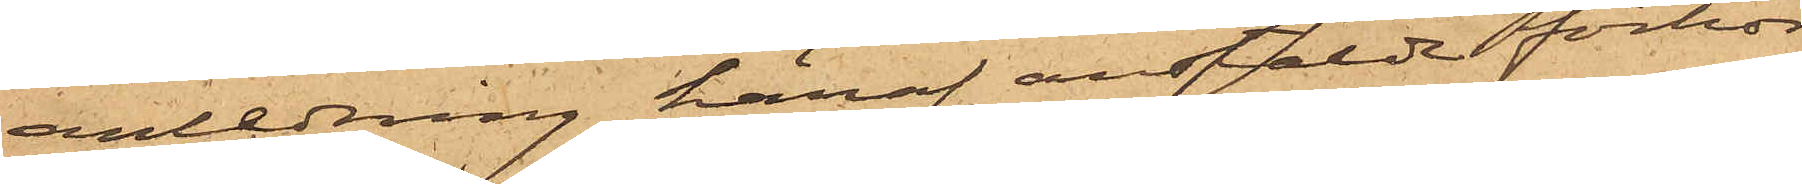anledning häraf anstälde förhör
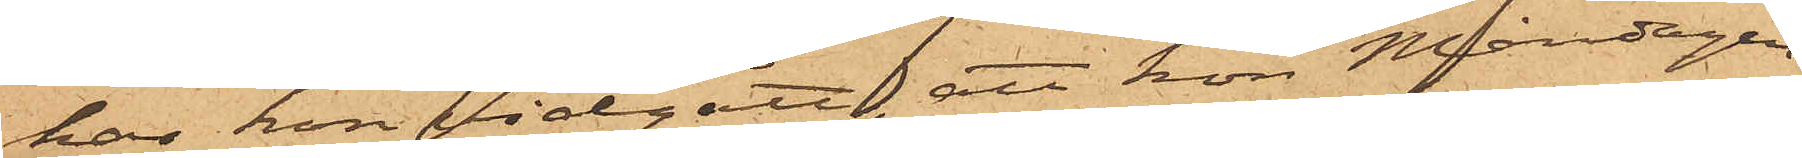har hon vidgått, att hon Måndagen
